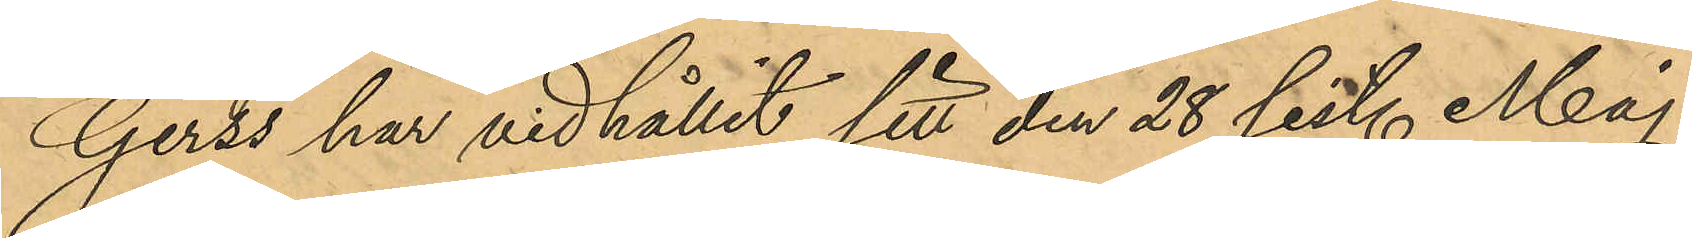Gerss har vidhållit sitt den 28 sist. Maj
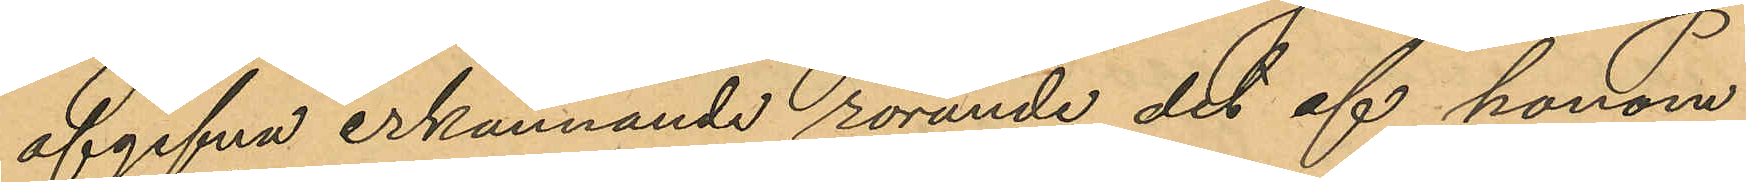afgifna erkännande rörande det af honom
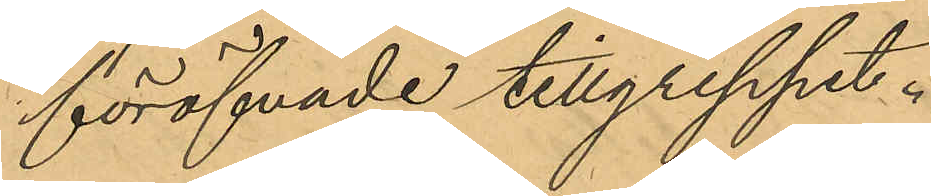föröfvade tillgreppet.
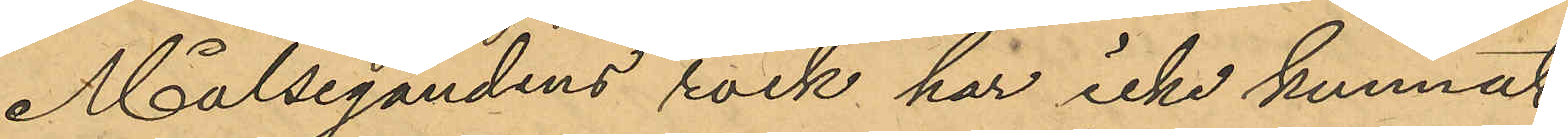Målsegandens rock har icke kunnat
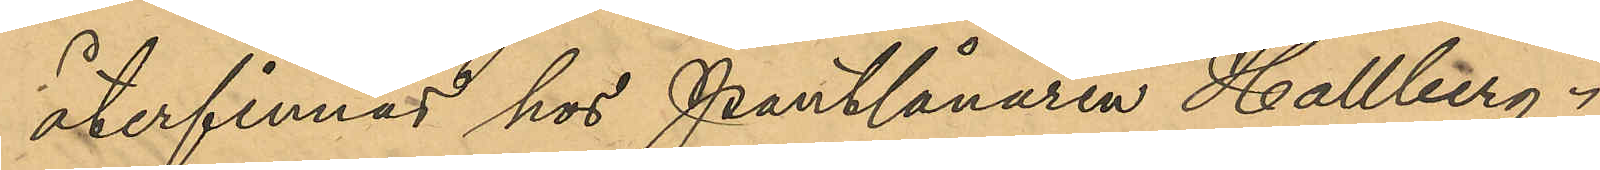återfinnas hos Pantlånaren Hallberg.
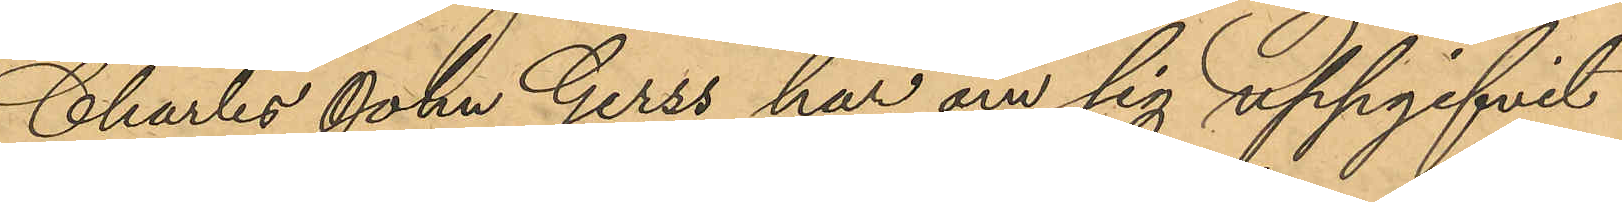Charles John Gerss har om sig uppgifvit
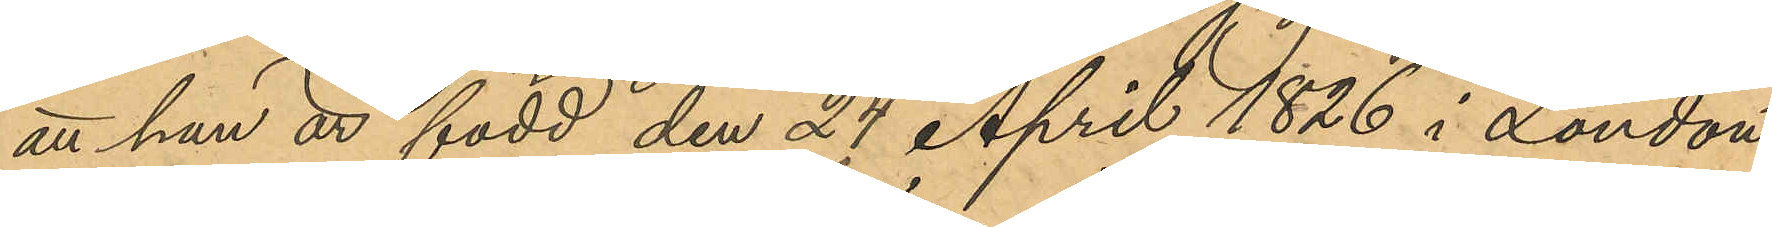att han är född den 24 April 1826 i London
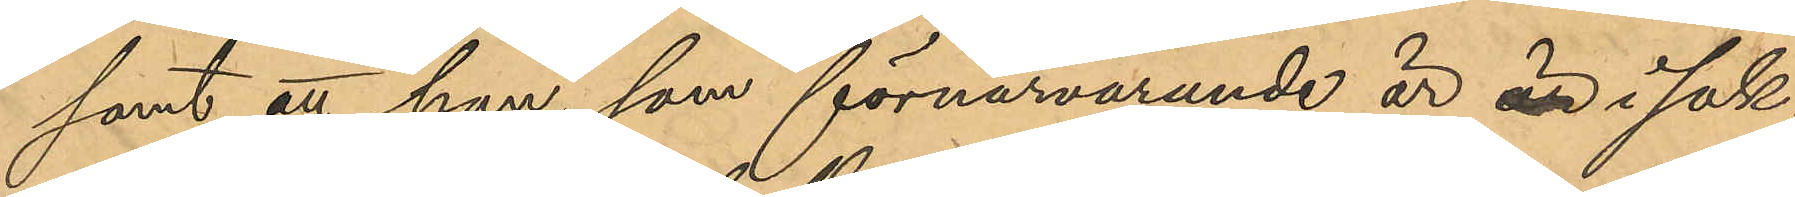samt att han, som förnärvarande är är i sak¬
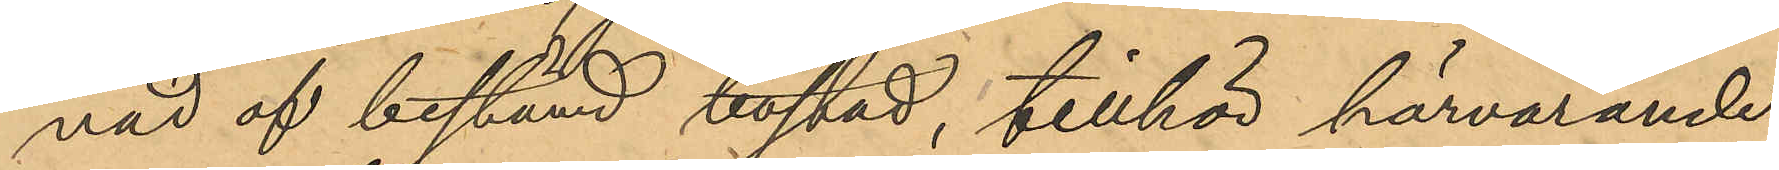nad af bestämd bostad, tillhör härvarande
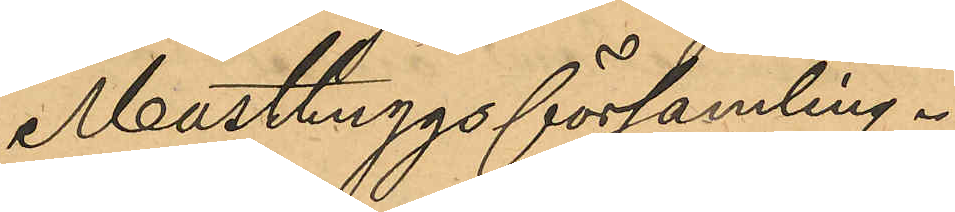Masthuggsförsamling.
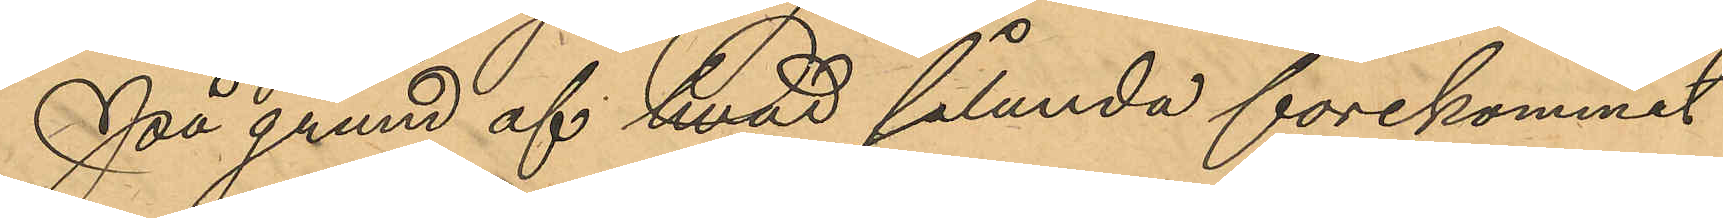På grund af hvad sålunda förekommit
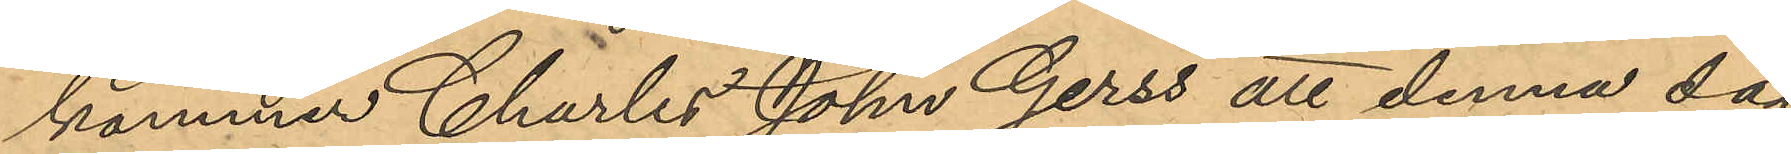kommer Charles John Gerss att denna dag
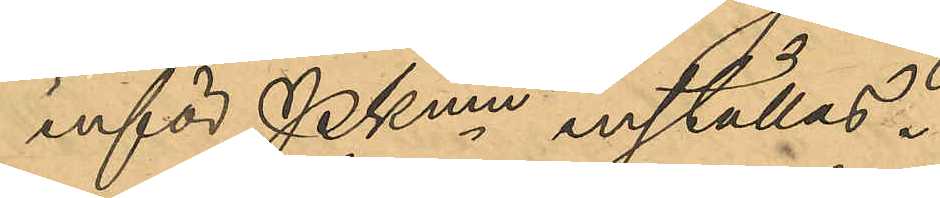inför PKmn inställas.
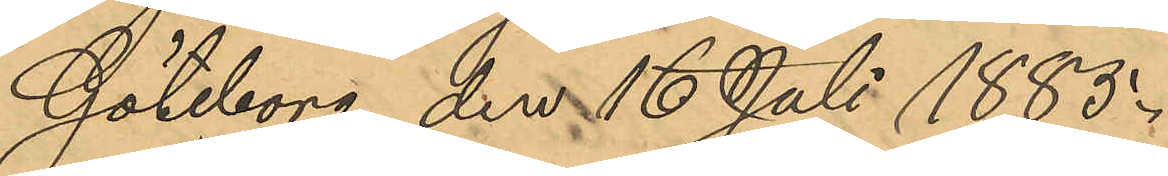Göteborg den 16 Juli 1883.
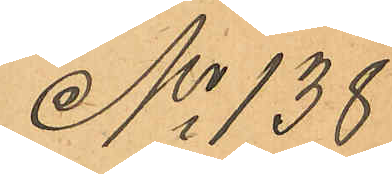No 138
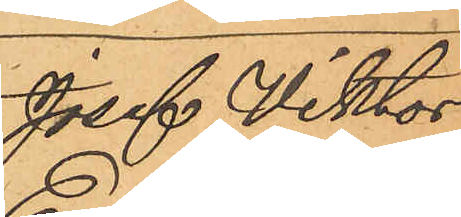Josef Viktor
